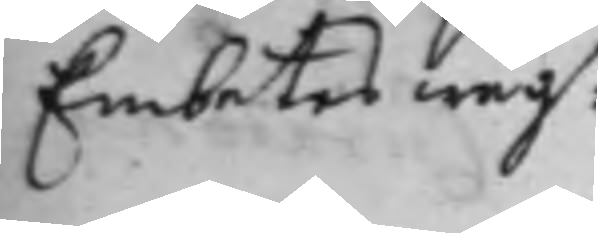Embetes wäg:r
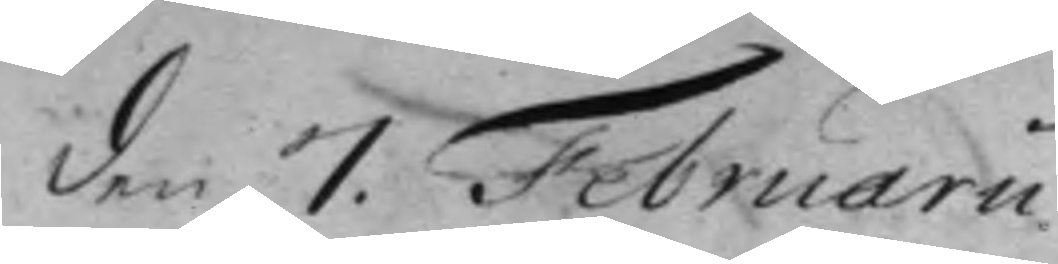den 7. Februarii
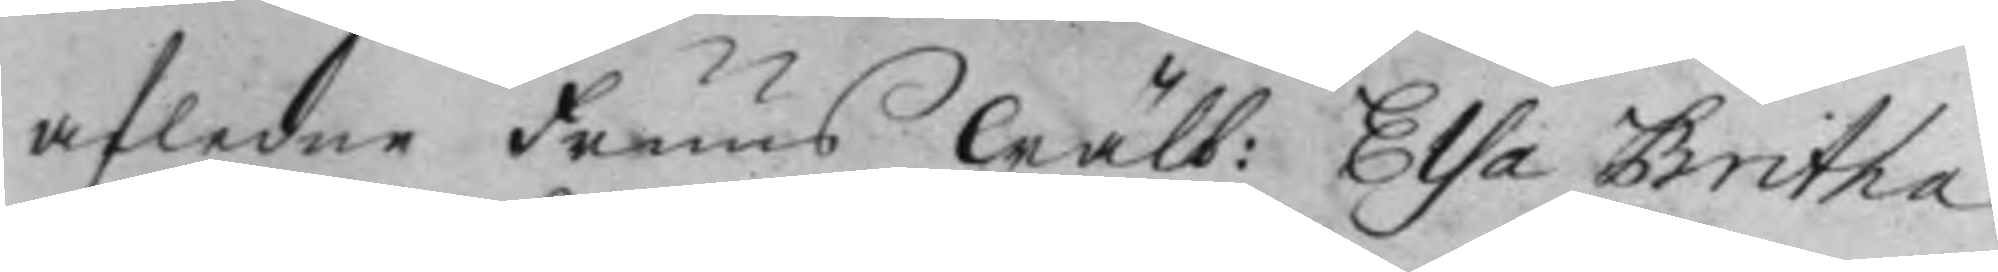afledne Fruus Wälb: Elsa Britha
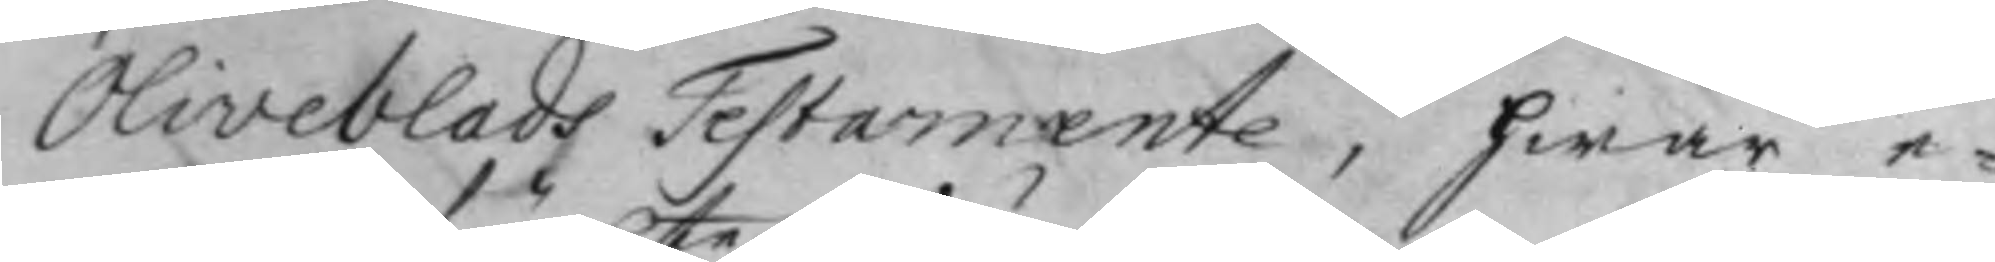Oliveblads Testamente, hwar e¬
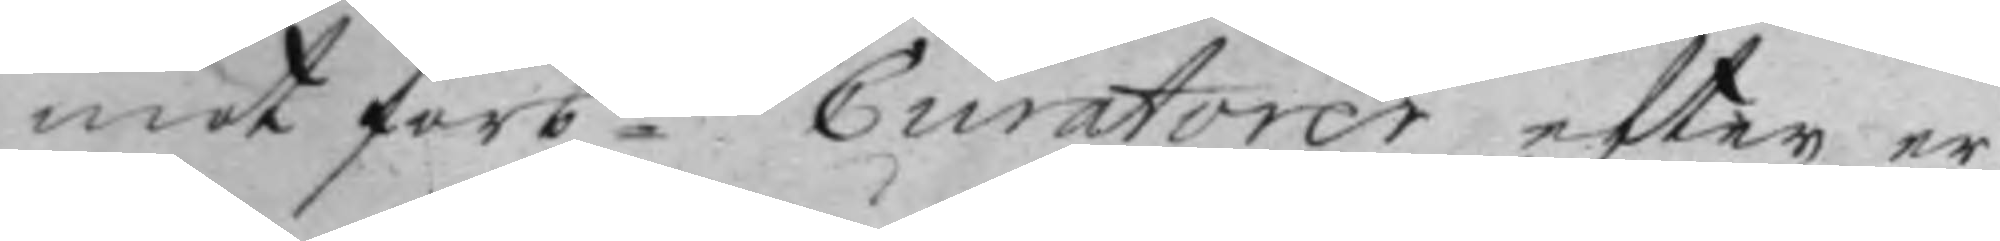mot förb:te Curatorer efter er¬
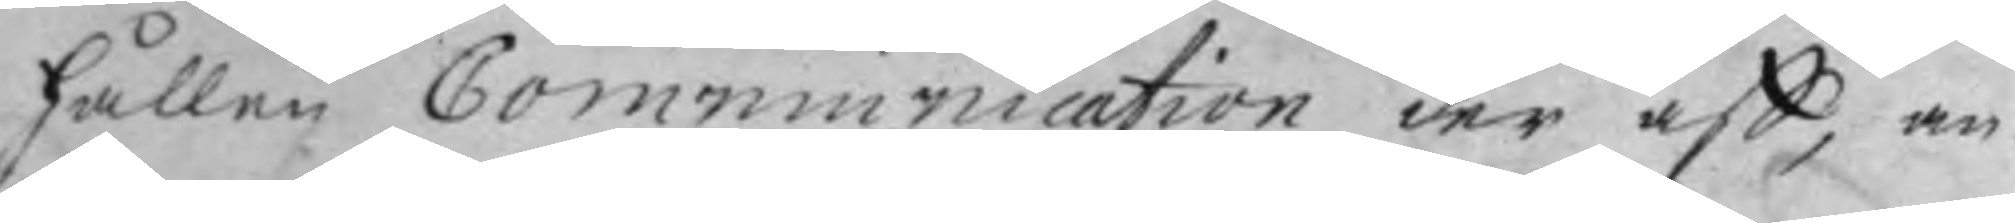hållen Communication der aff, an¬
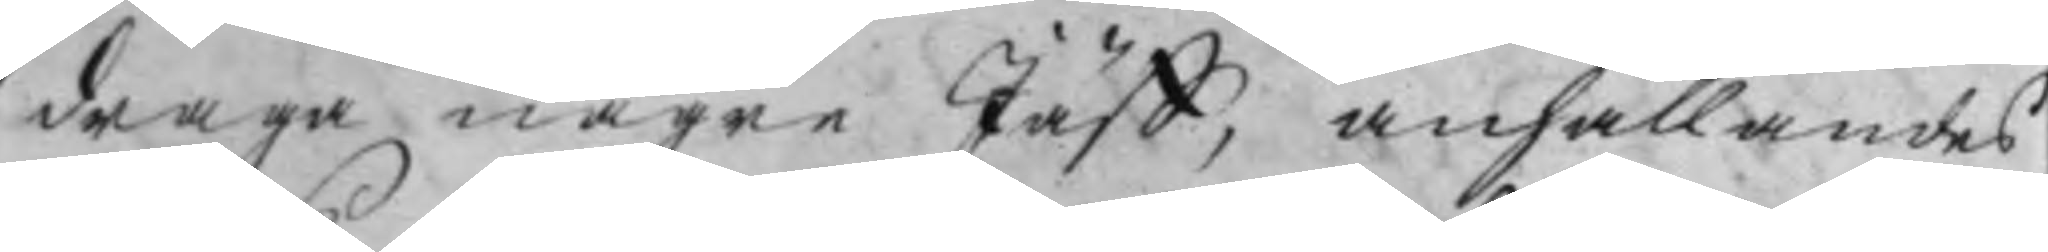draga någre Jäff, anhållandes
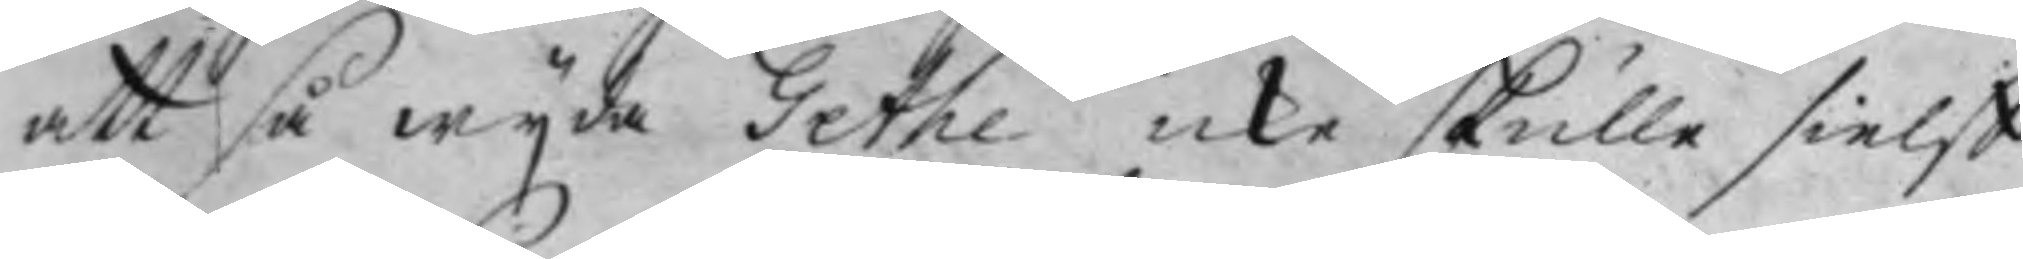att så wijda Gethe icke skulle sielff
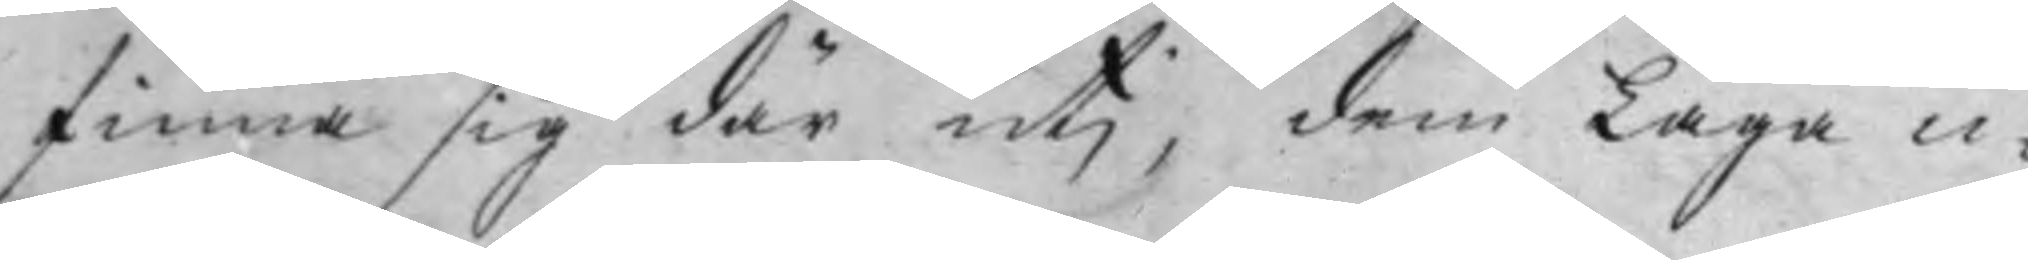finna sig där utj, dem Laga ci¬
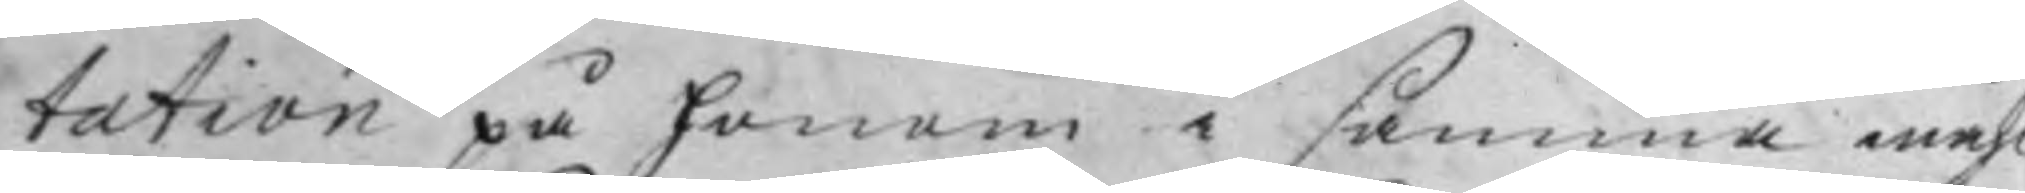tation på honom i samma måhl
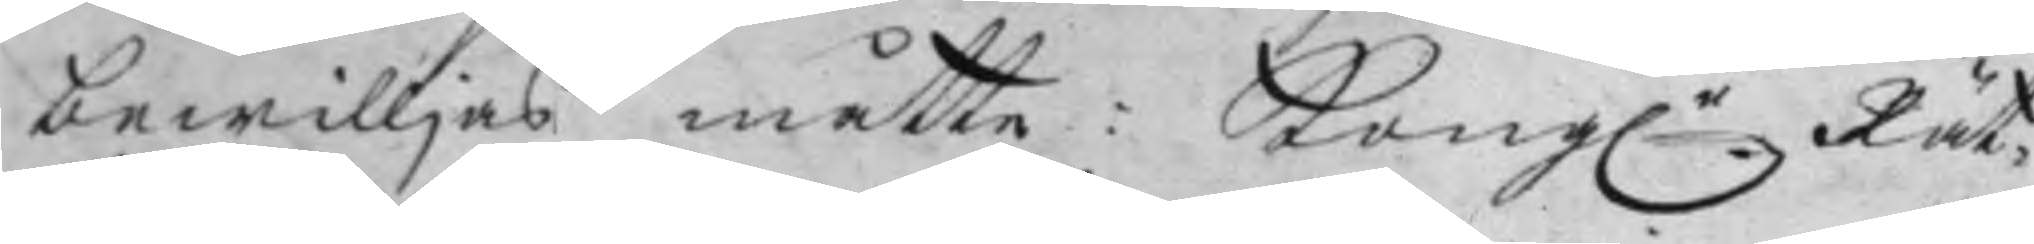bewilljas måtte: Kong:e Rät¬
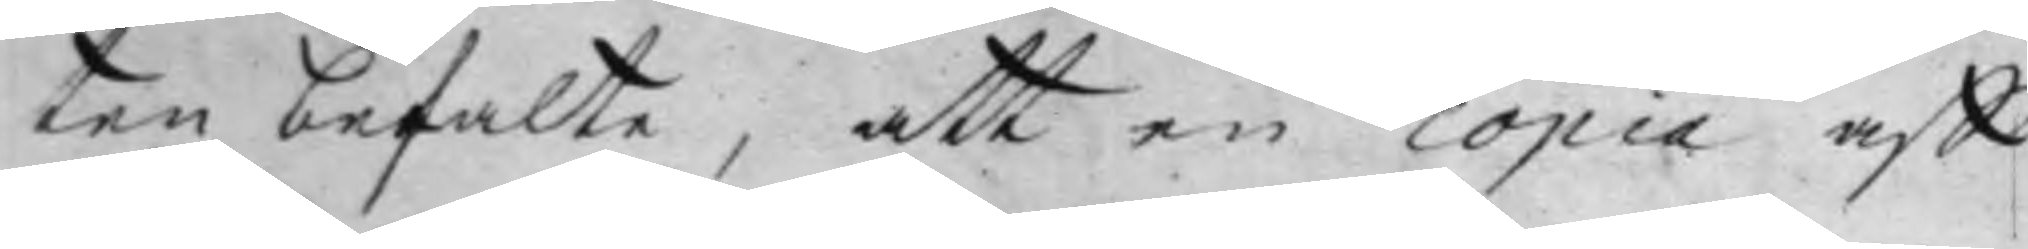ten befalte, att en copia aff
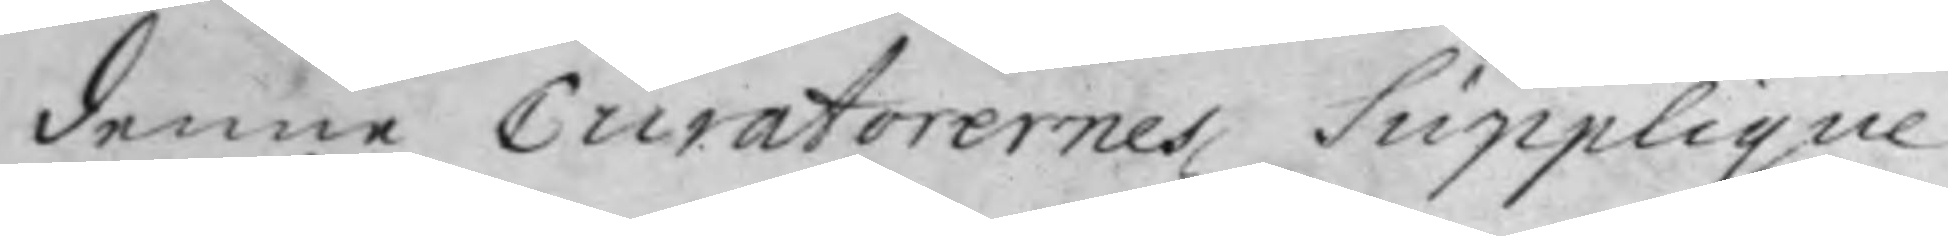denne Curatorernes Supplique
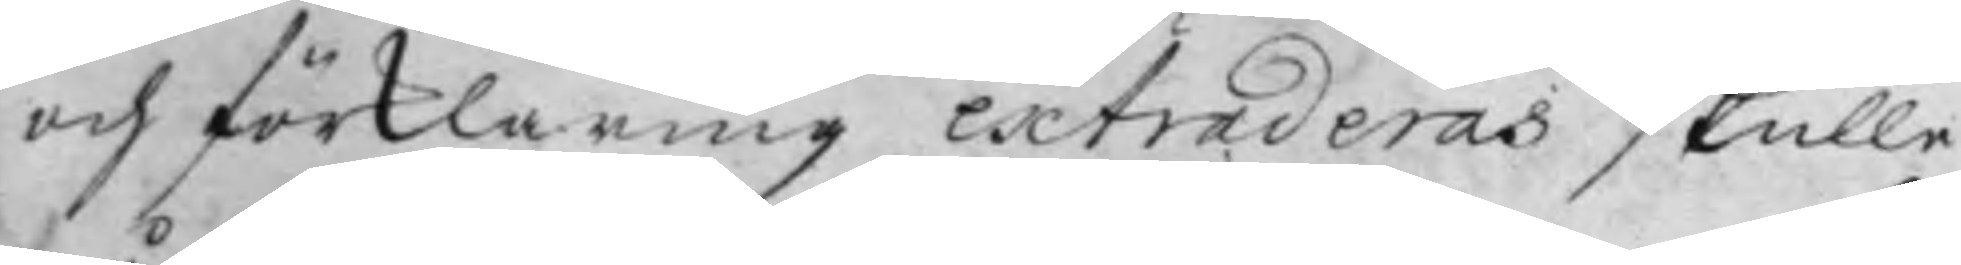och förklaring extraderas skulle
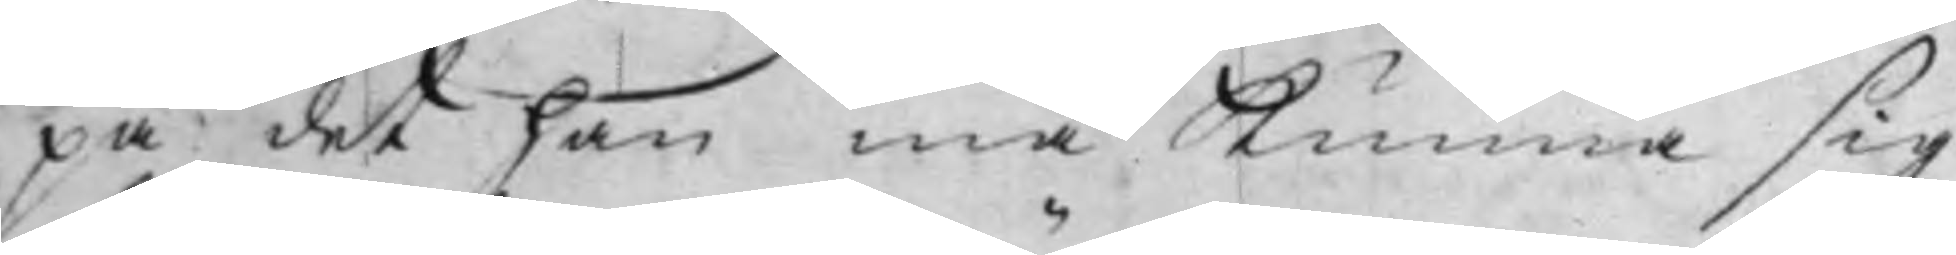på det han må kunna sig
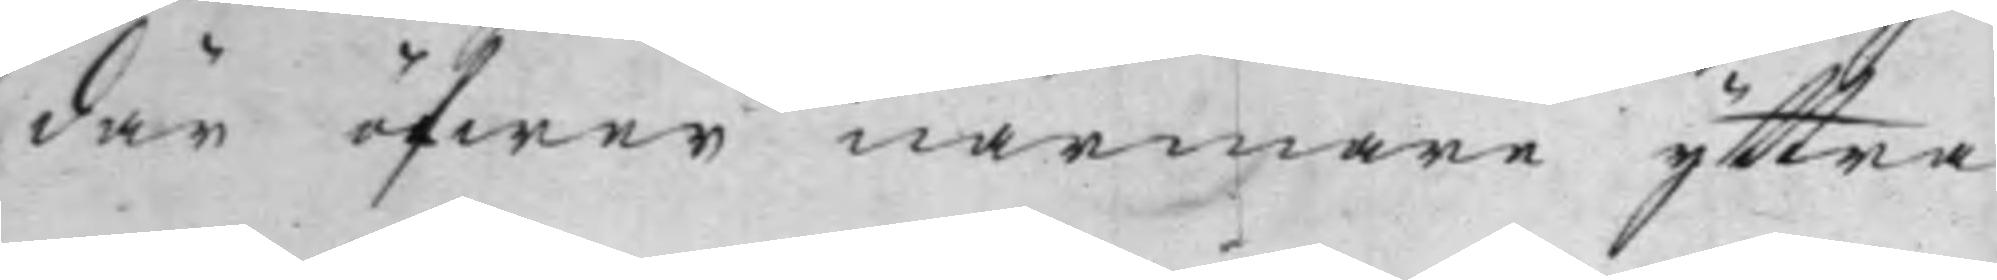där öfwer närmare yttra.
